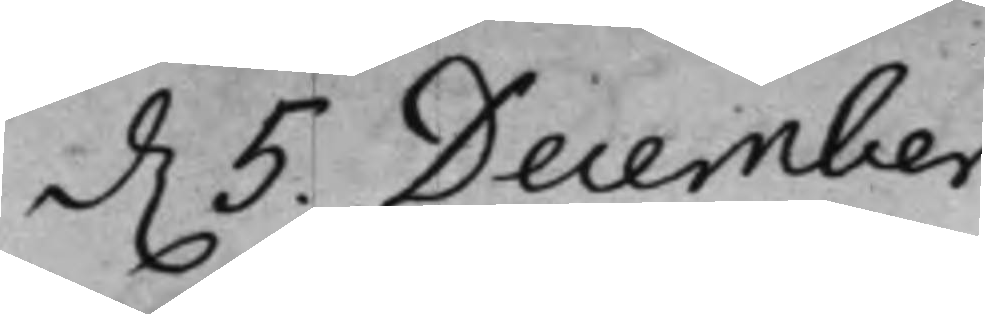d. 5. December.
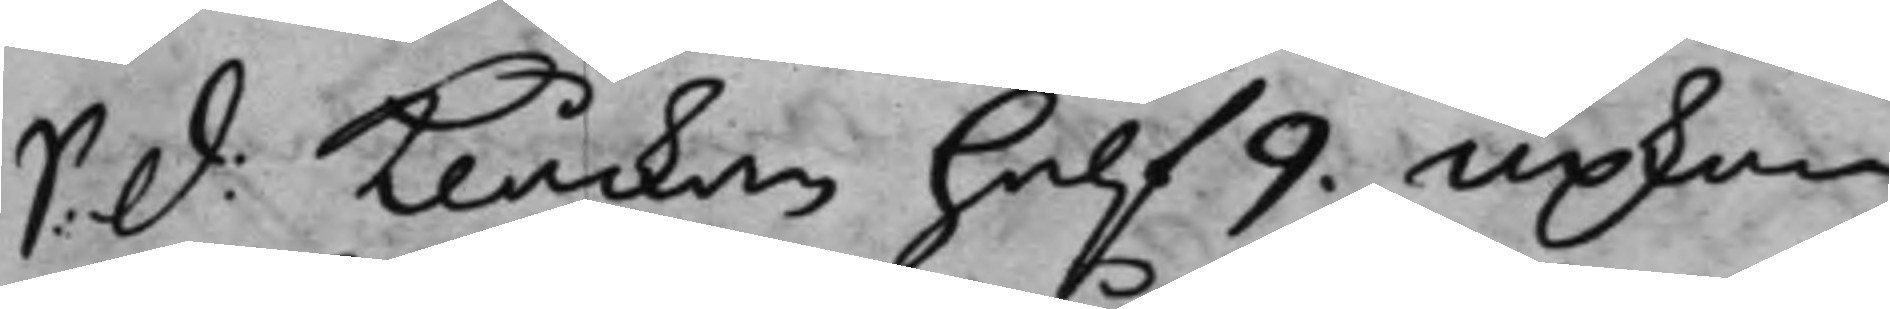S: d: Klåckan half 9. upkom
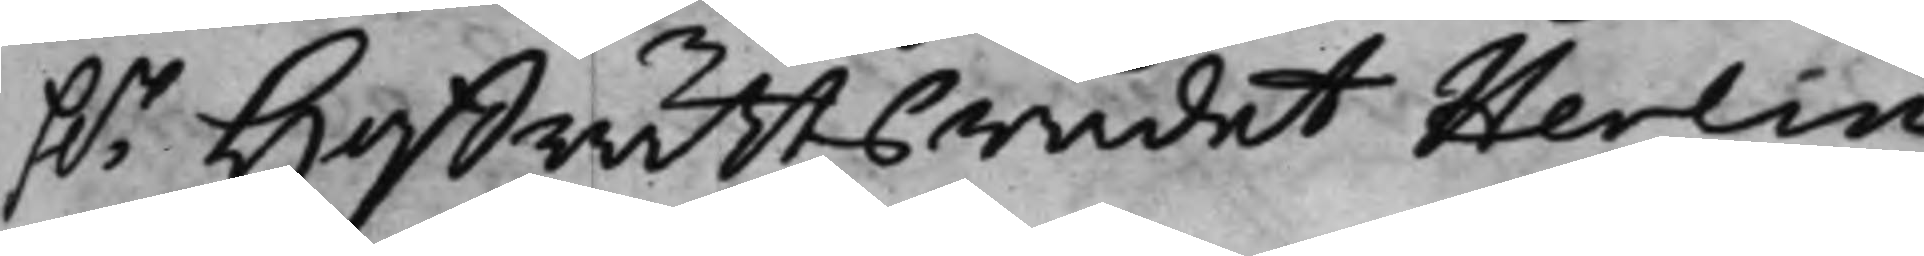h.r HoffrättsRådet Herlin.
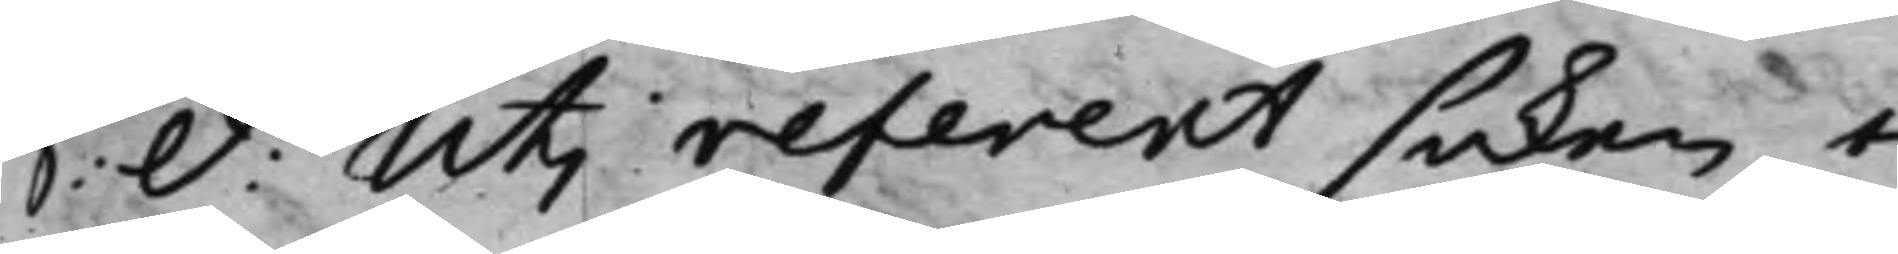S: d: Uti referent saken e¬
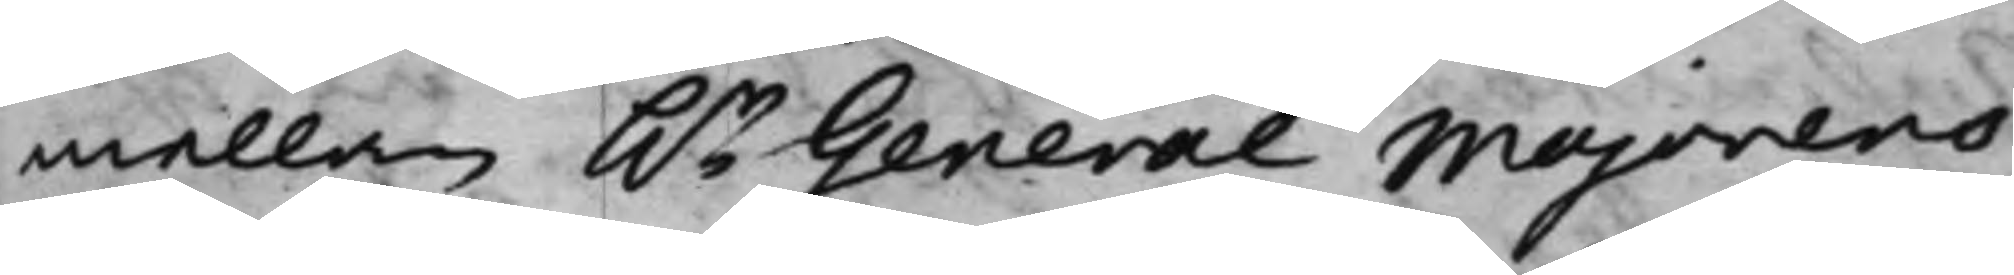mellan h.r General Majorens
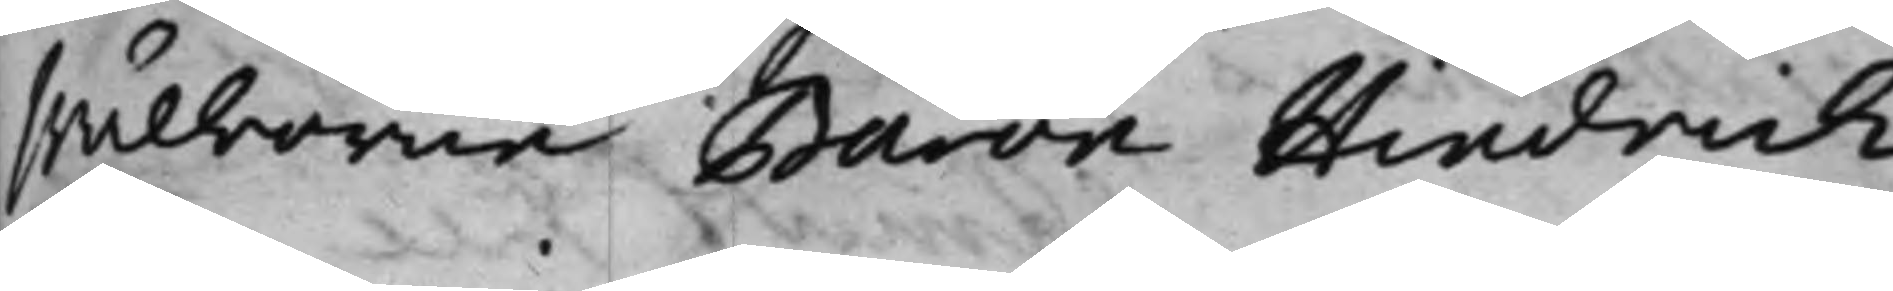Wälborne Baron Hindrich
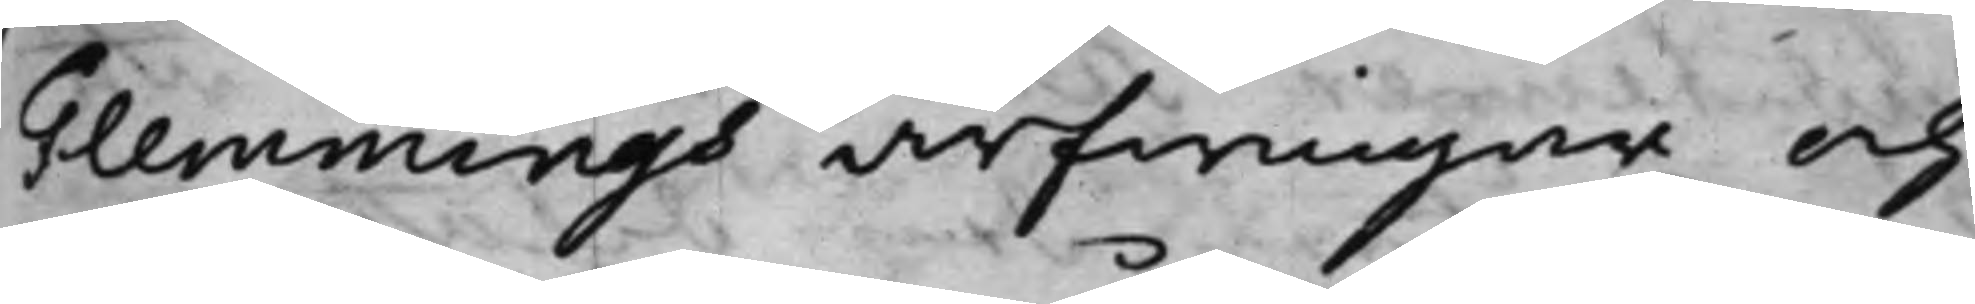Flemmings arfwingar och
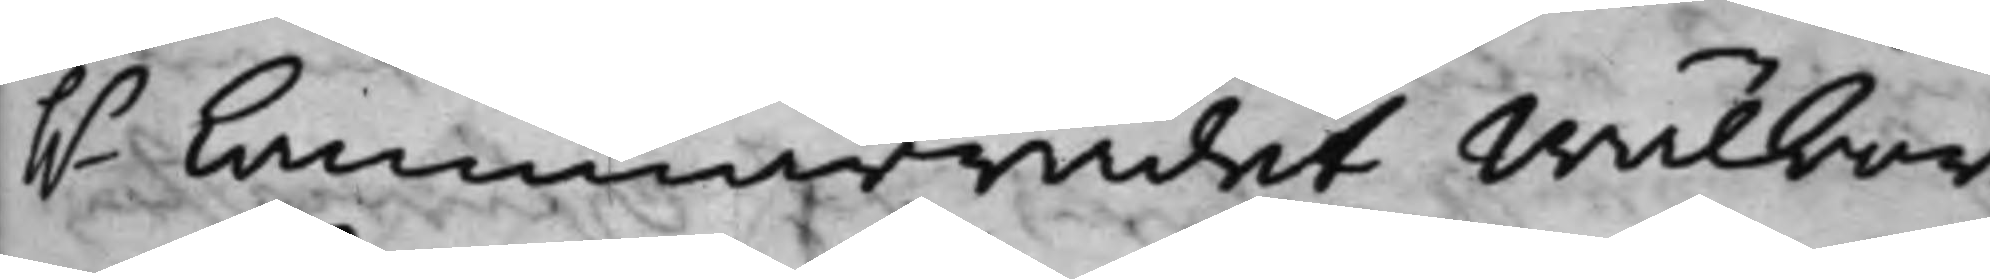h.r Cammarrådet Wälbor¬
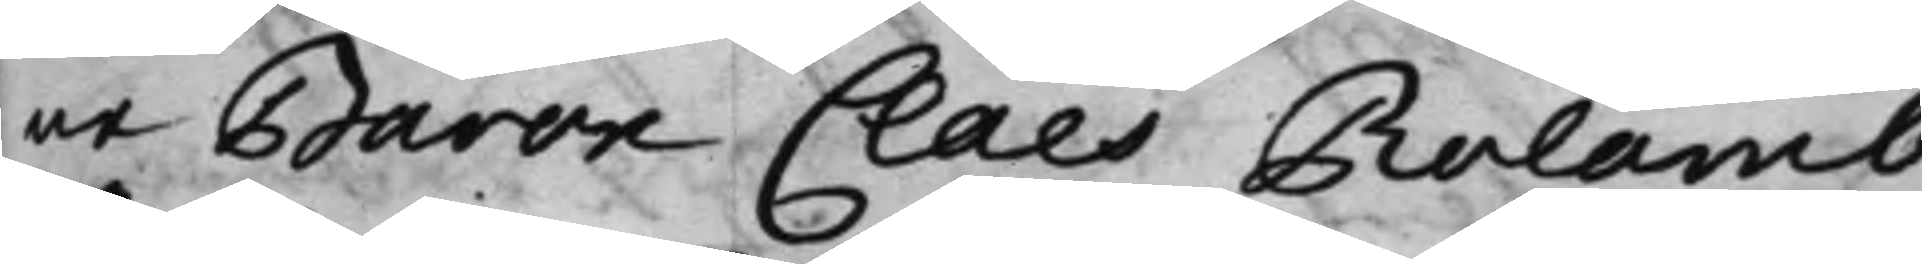ne Baron Claes Rolamb,
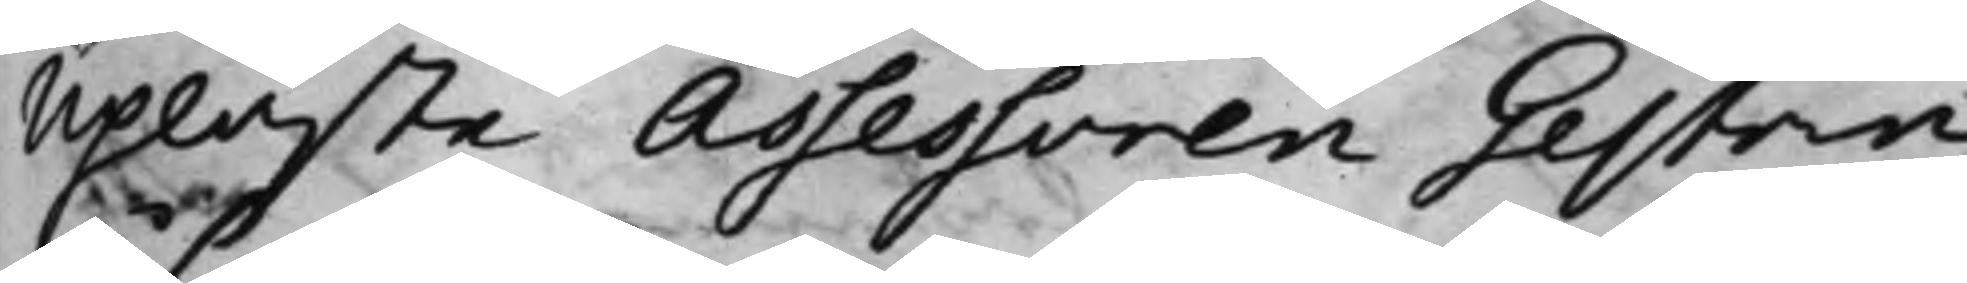upläste Assessoren Gestrin
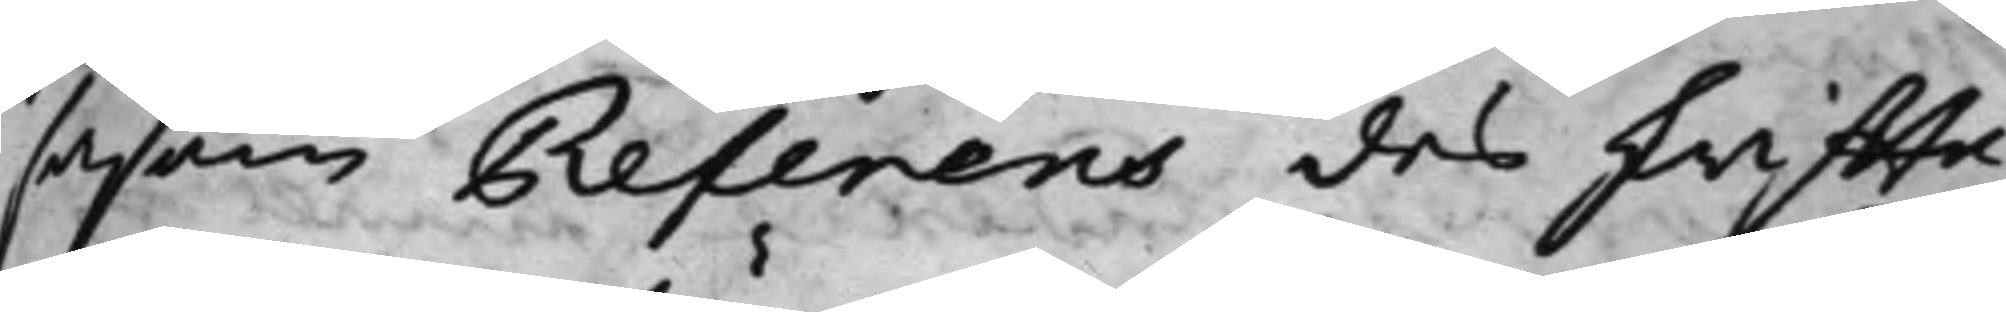såsom Referens des skriffte¬
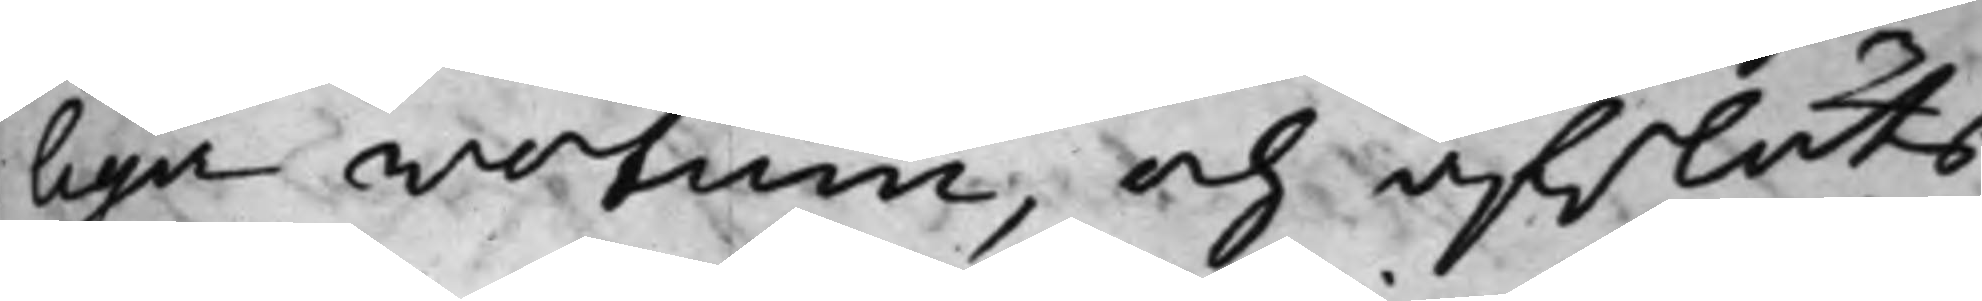laga wotum, och afslöts
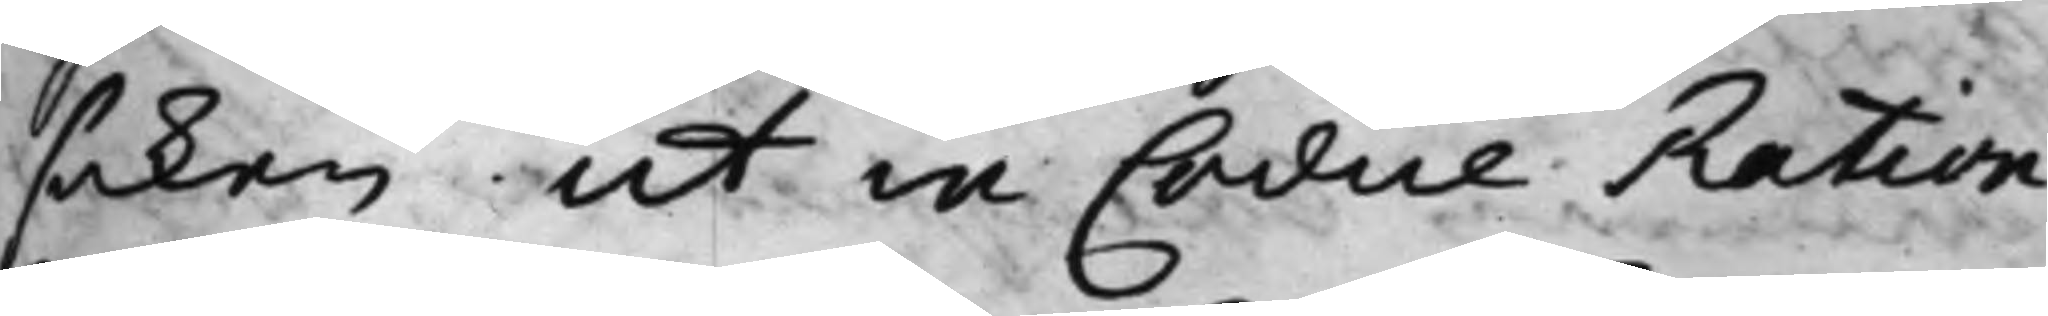saken ut in Codice Ration:
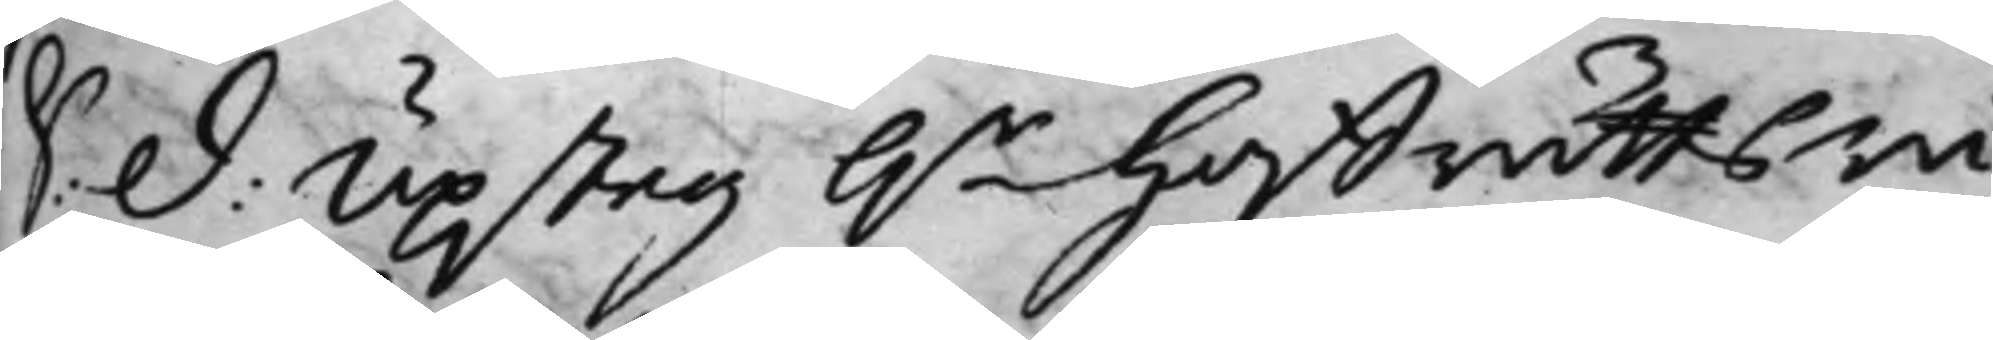S: D: Upsteg h.r HoffrättsRå¬
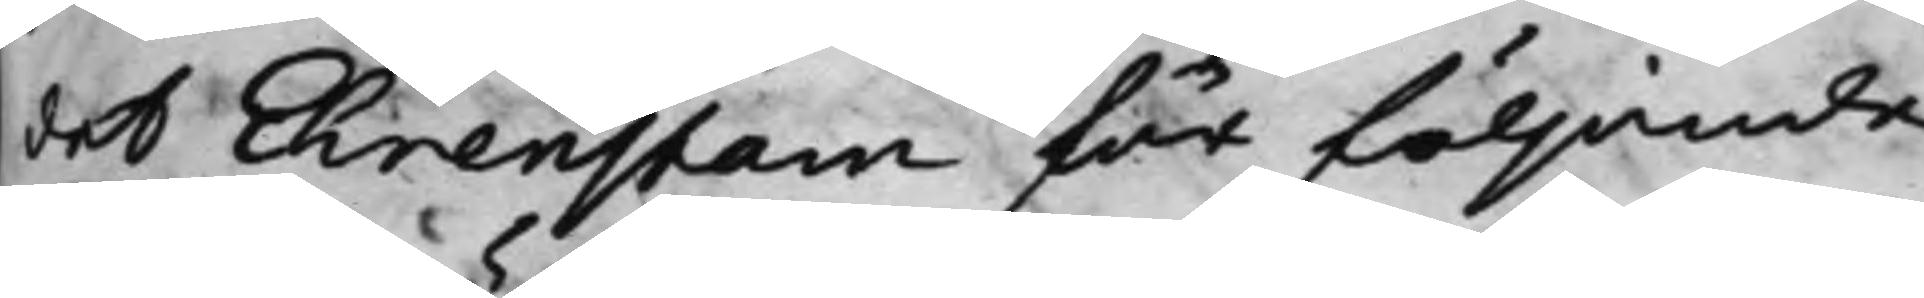det Ehrenstam för följande.
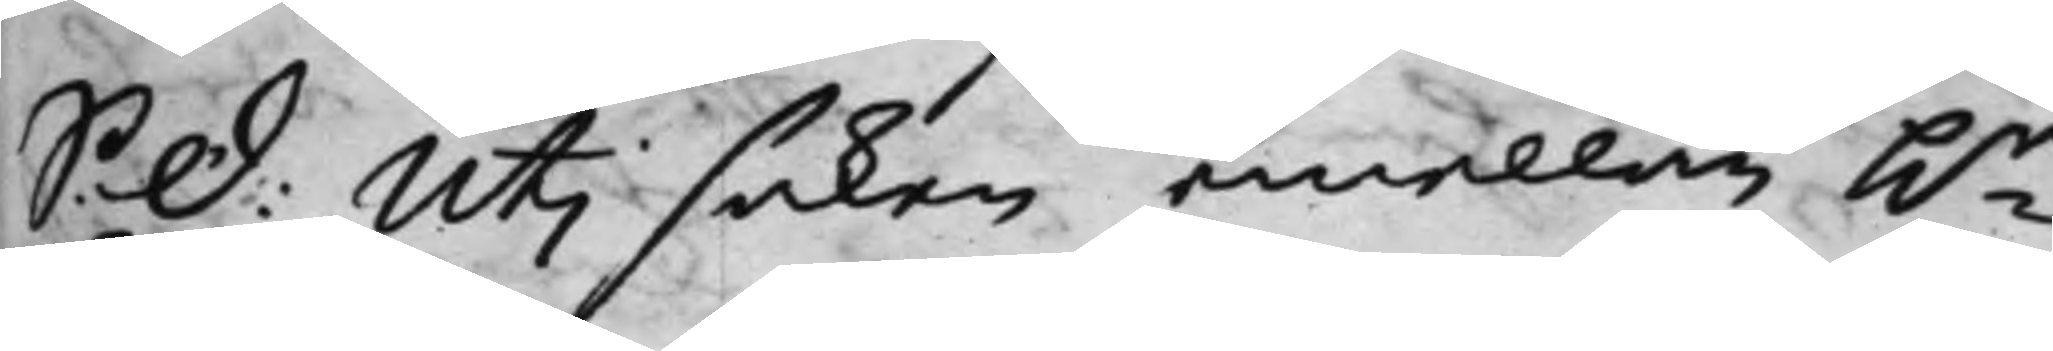S: D: Uti saken emellan h.r
